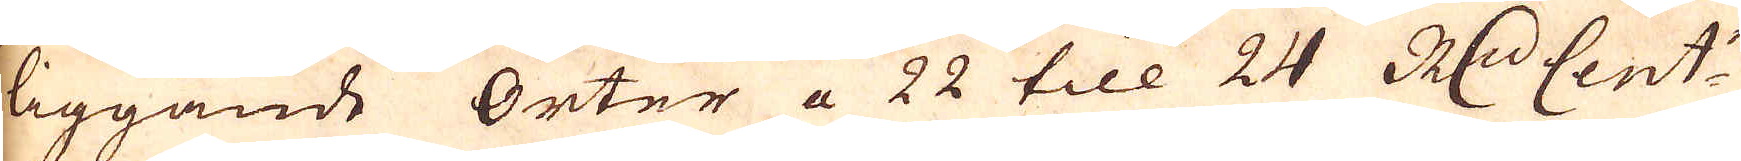liggande Orter a 22 till 24 R:dr Cent:n
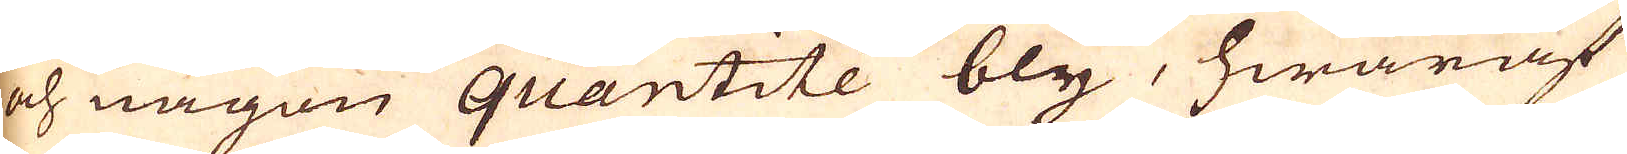och någon quantitée bly, hwaaft
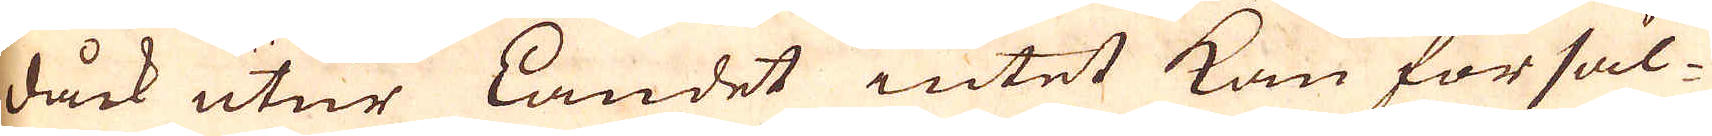dåck utur Landet intet kan försäl-
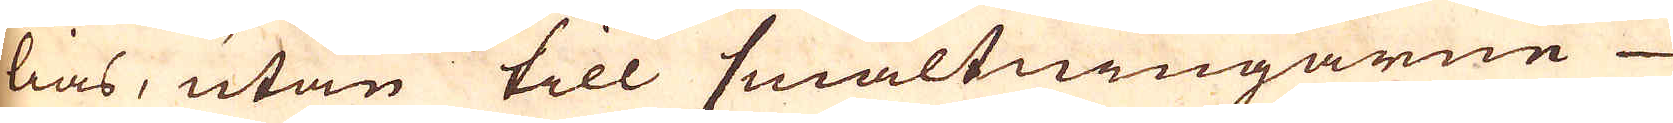lias, utan till smältningarne
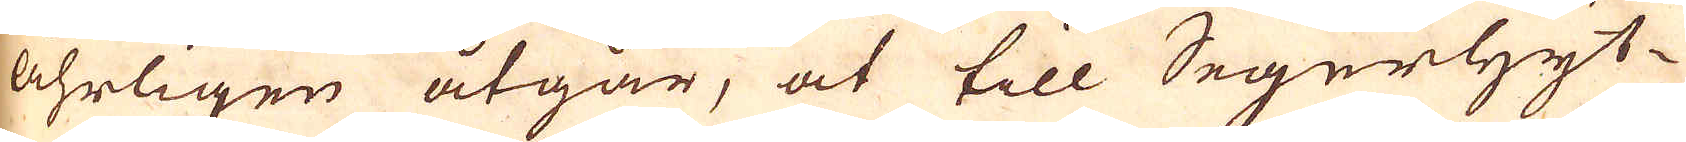åhrligen åtgår, at till Segerhyt-
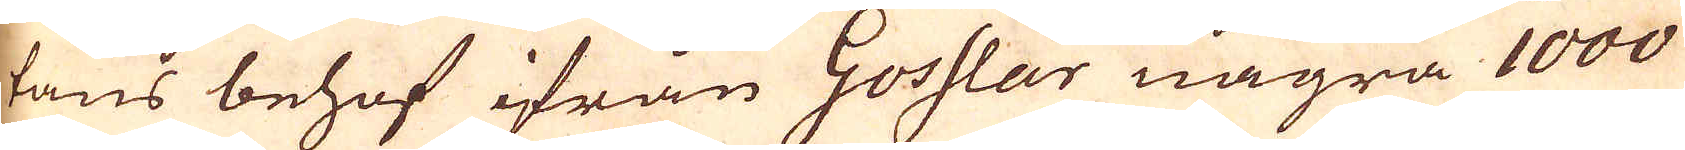tans behof ifrån Gosslar några 1000
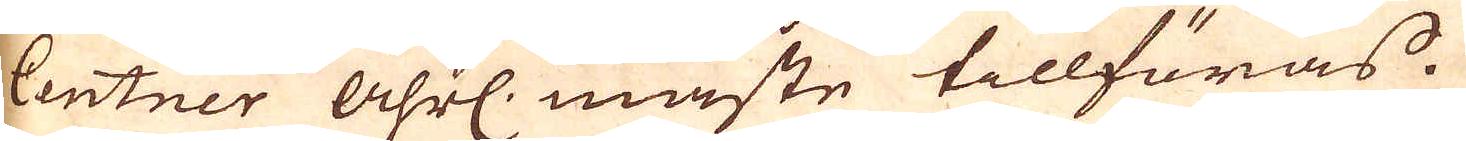Centner åhrl. måste tillföras
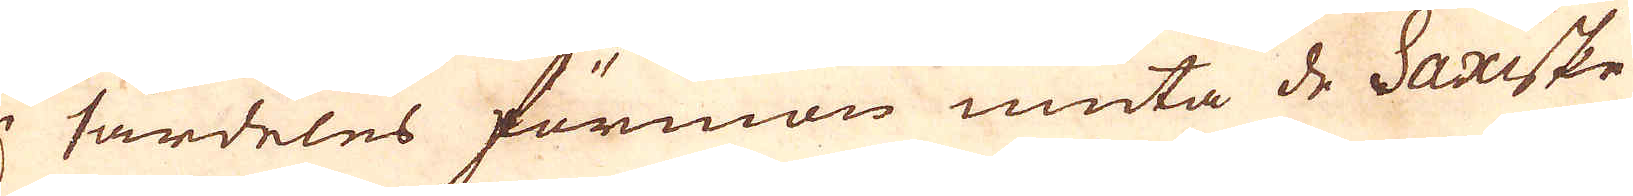i särdeles förmon niuta de Saxiske
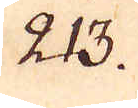213.
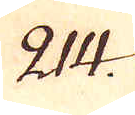214.
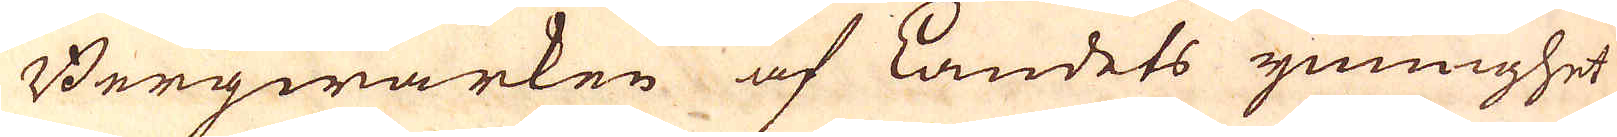Bergwärken af Landets ymighet
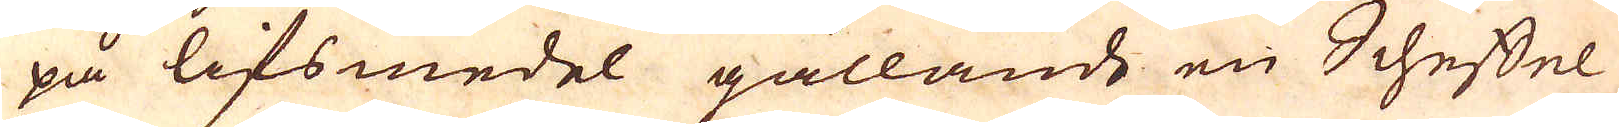på lifsmedel gällande en Scheffel
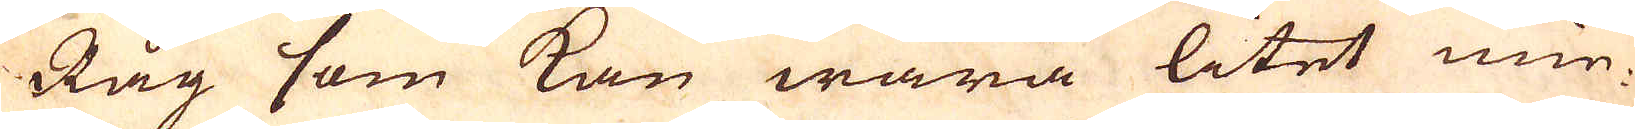Råg som kan wara litet min-
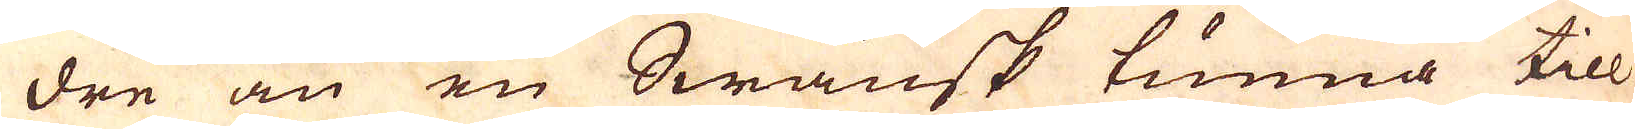dre än en Swänsk tunna till
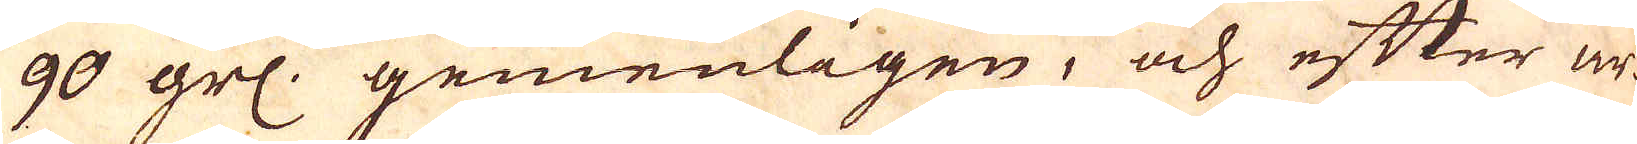90 grs. gemenligen, och efter ar-
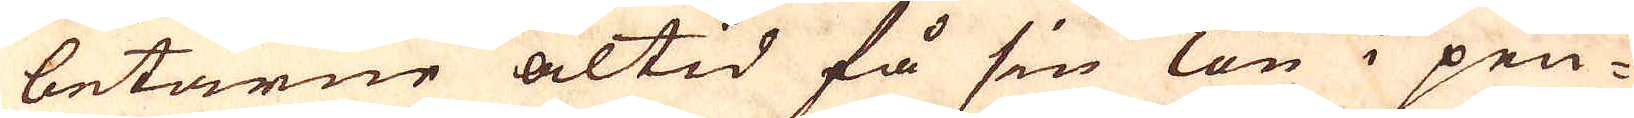betarne altid få sin lön i pen-
